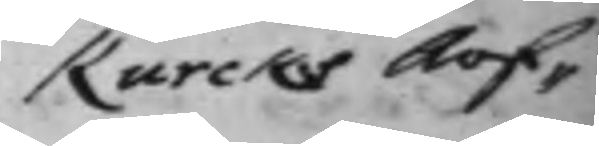Kurcks Arf¬
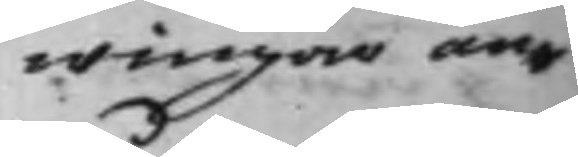wingar an¬
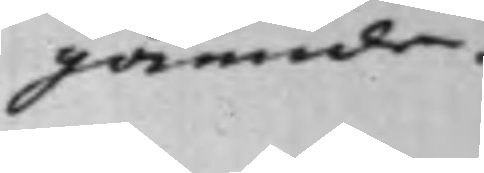gående.
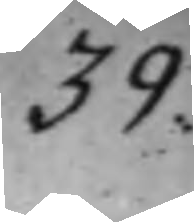39.
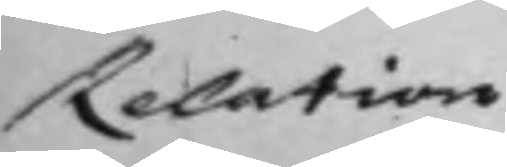Relation
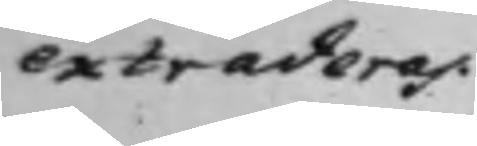extraderas.
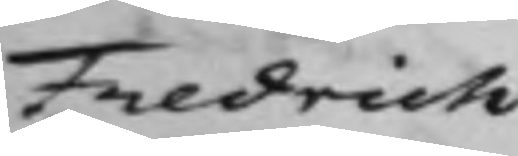Fredrich
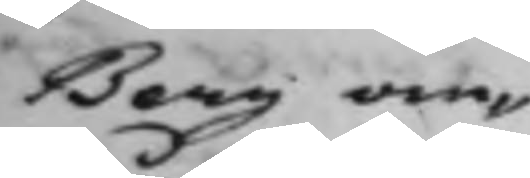Berg om¬
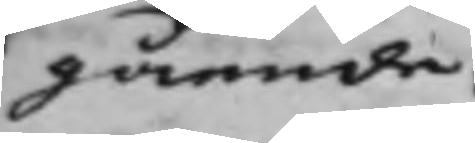gående.
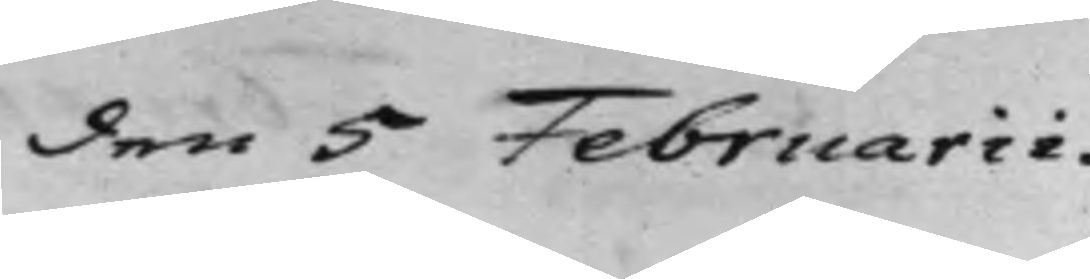den 5 Februarii
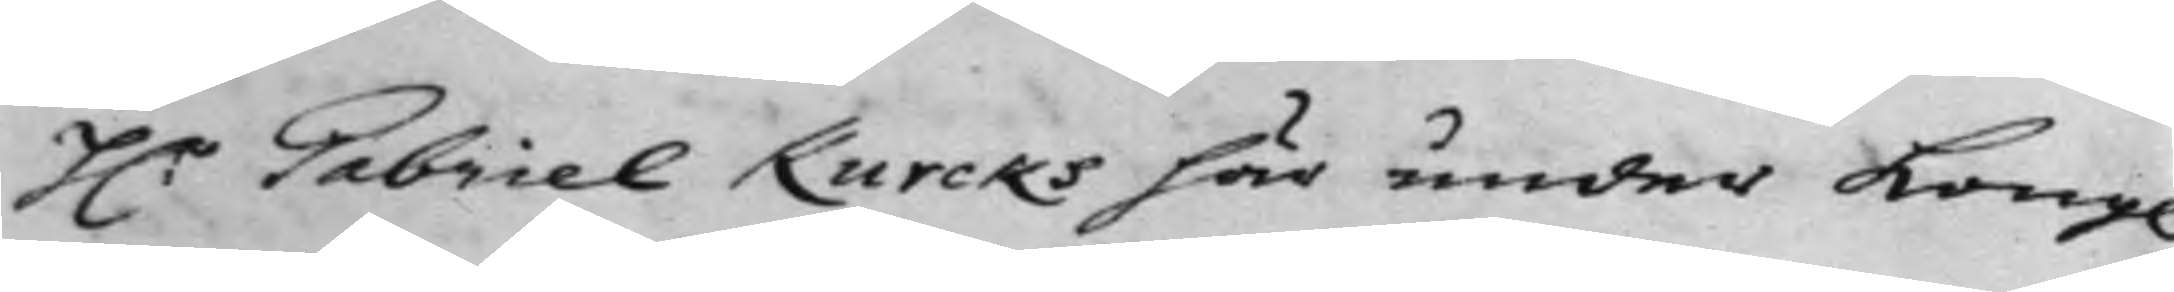H:r Gabriel Kurcks här under Kong
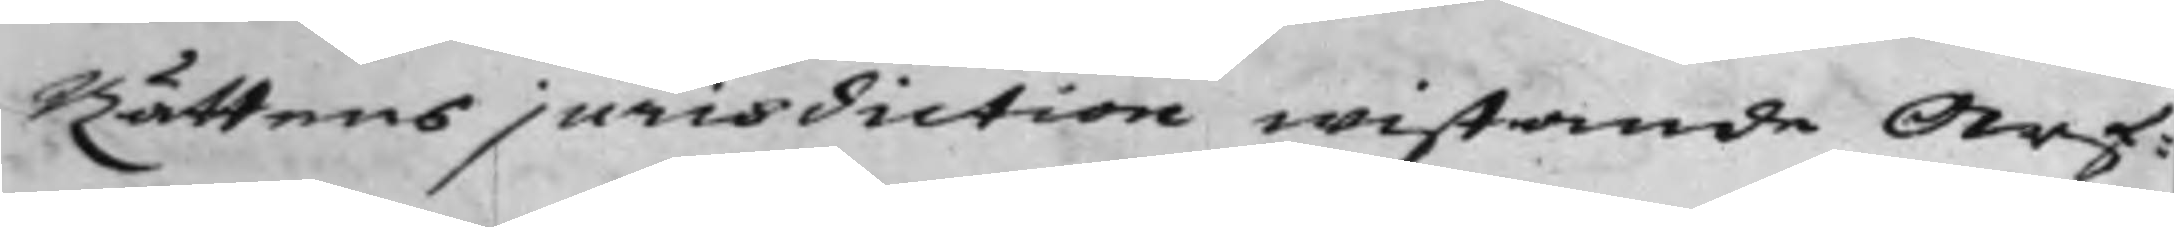Rättens jurisdiction wistande Arf¬
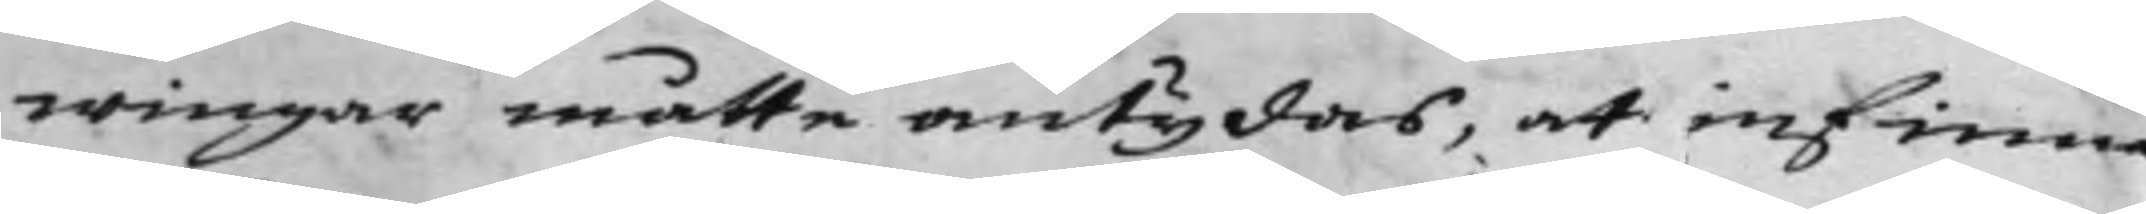wingar måtte antydas, at infinna
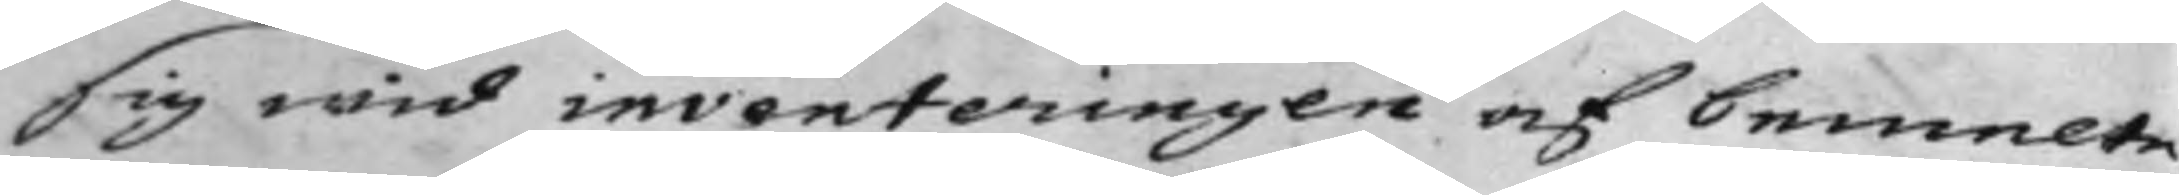sig wid inventeringen af bemelte
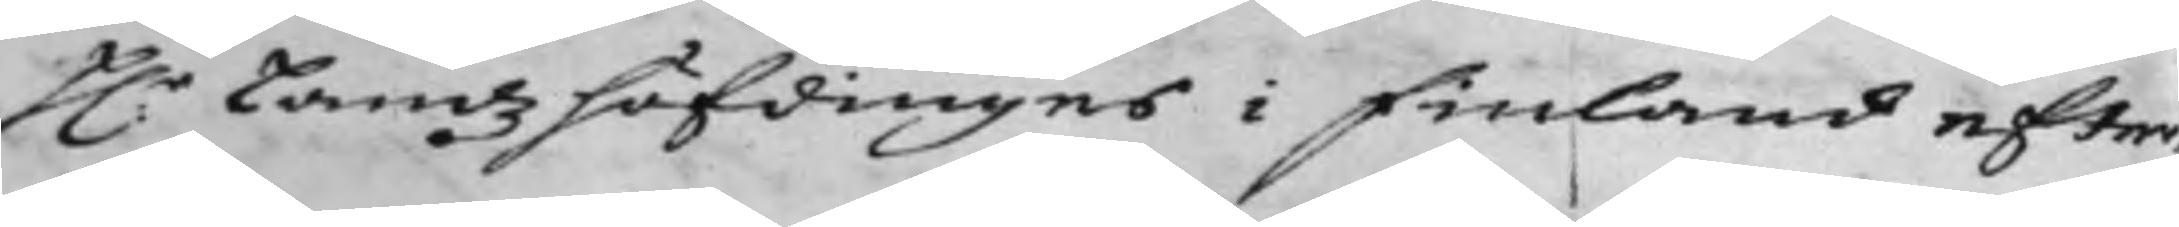H:r Landzhöfdingens i FInland efter¬
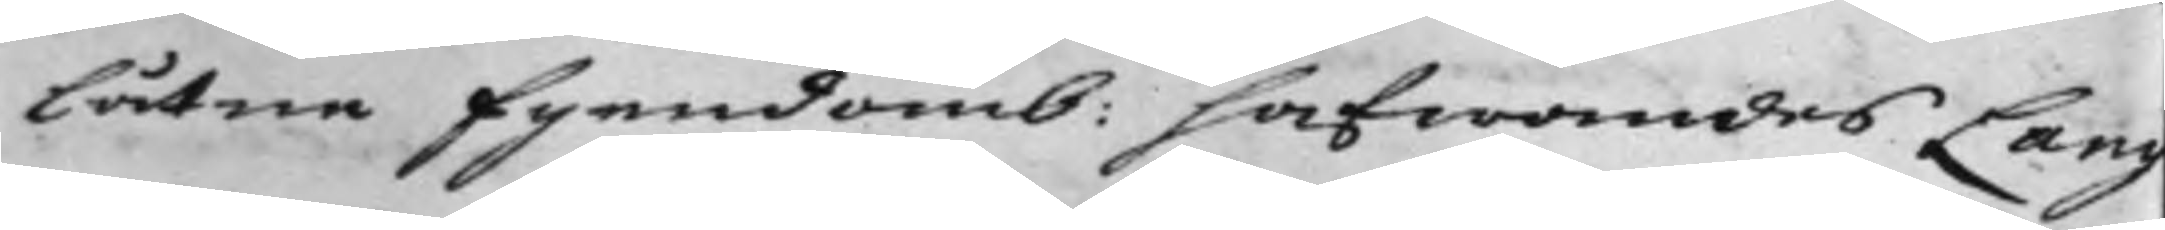låtne Egendomb: hafwandes Lang
